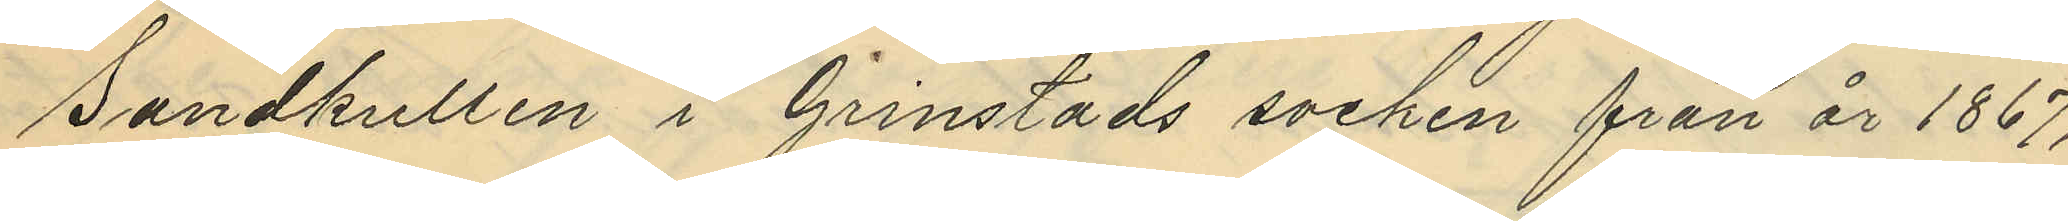Sandkullen i Grinstads socken från år 1867,
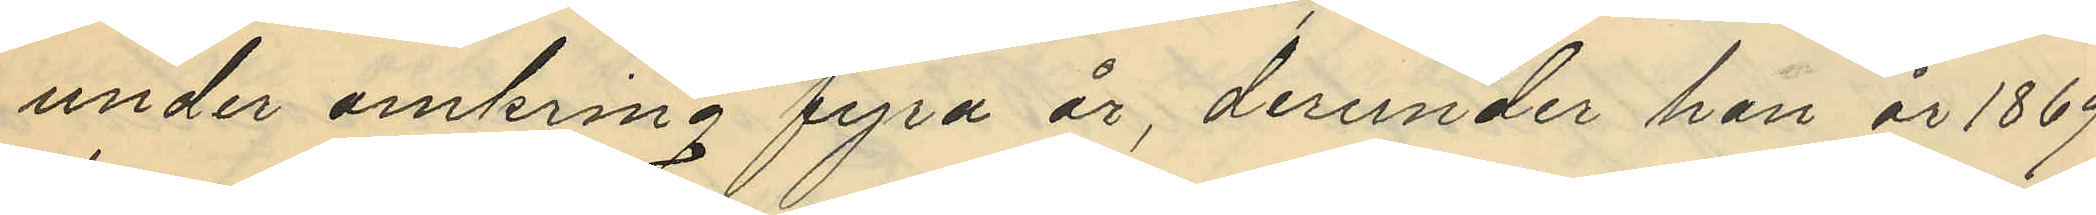under omkring 4 år, derunder han år 1869
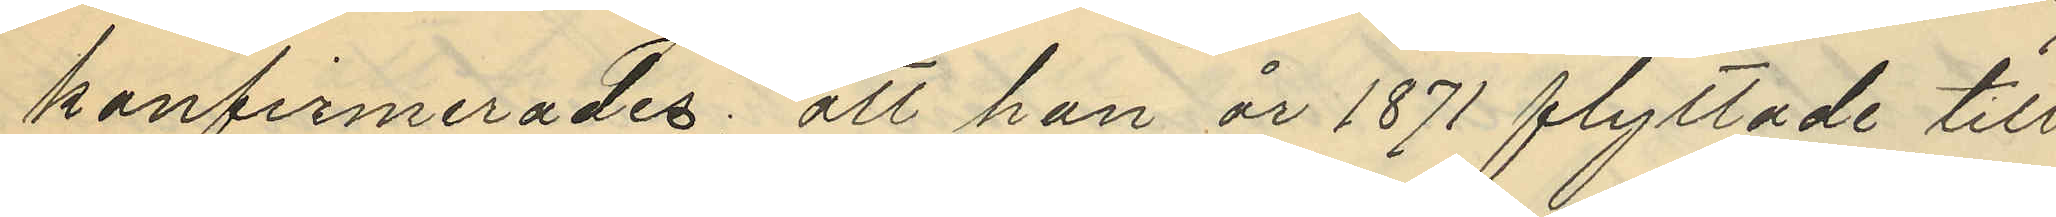konfirmerades; att han år 1871 flyttade till
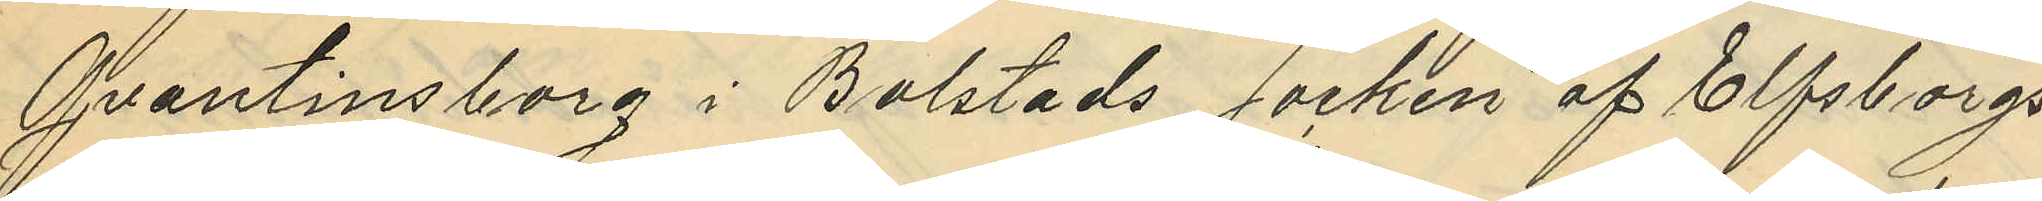Qvantinsborg i Bolstads socken af Elfsborgs
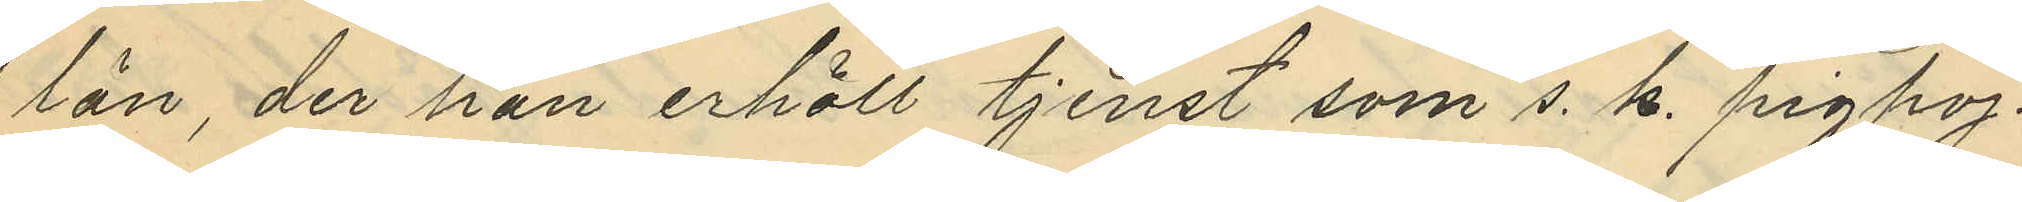län, der han erhöll tjenst som s. k.  pigpoj¬
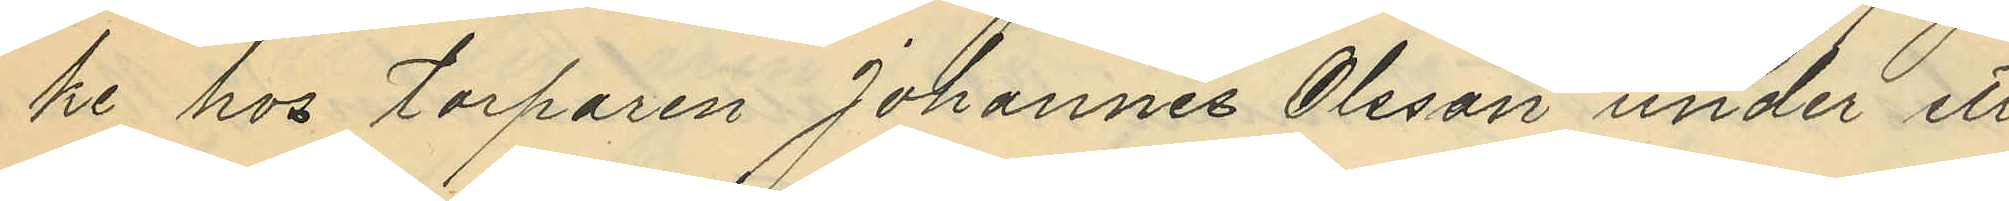ke hos torparen Johannes Olsson under ett
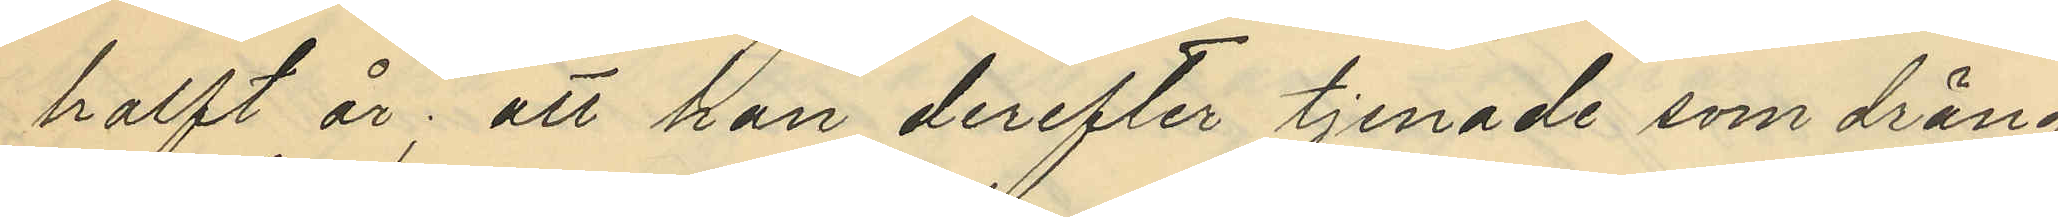halft år; att han derefter tjenade som dräng
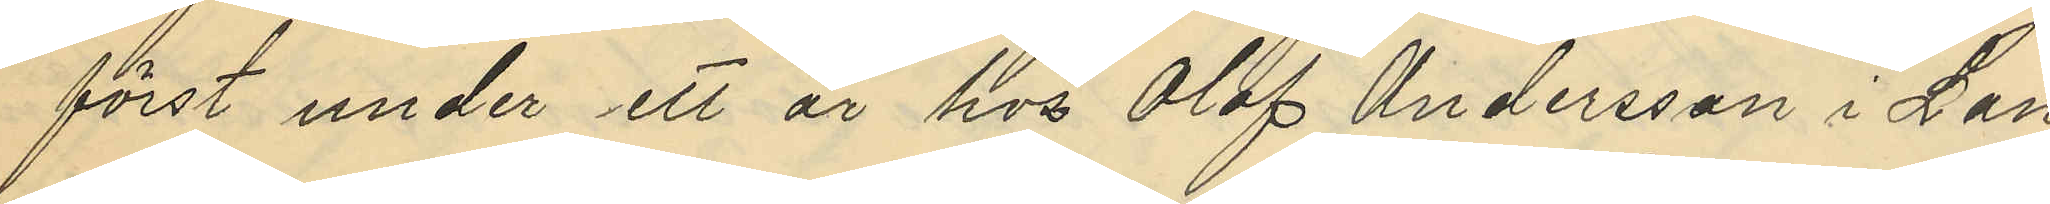först under ett år hos Olof Andersson i Lan¬
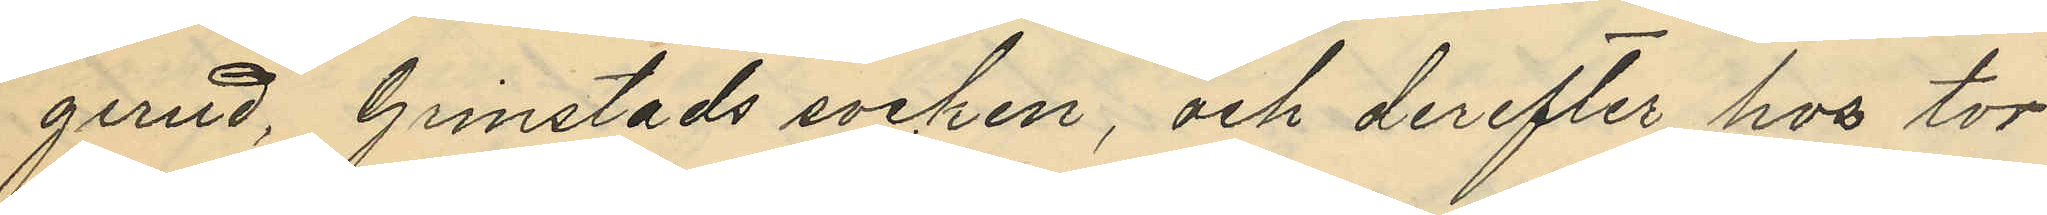gerud, Grinstads socken, och derefter hos tor¬
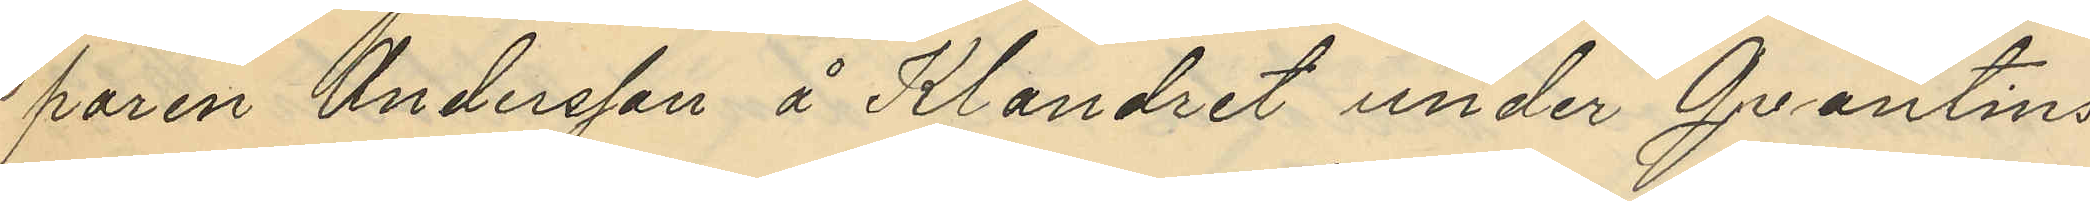paren Andersson å Klandret under Qvantins¬
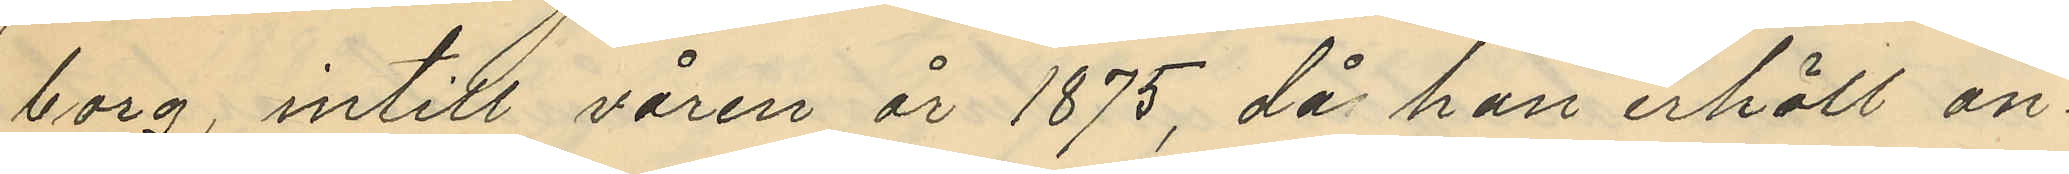borg, intill våren år 1875, då han erhöll an¬
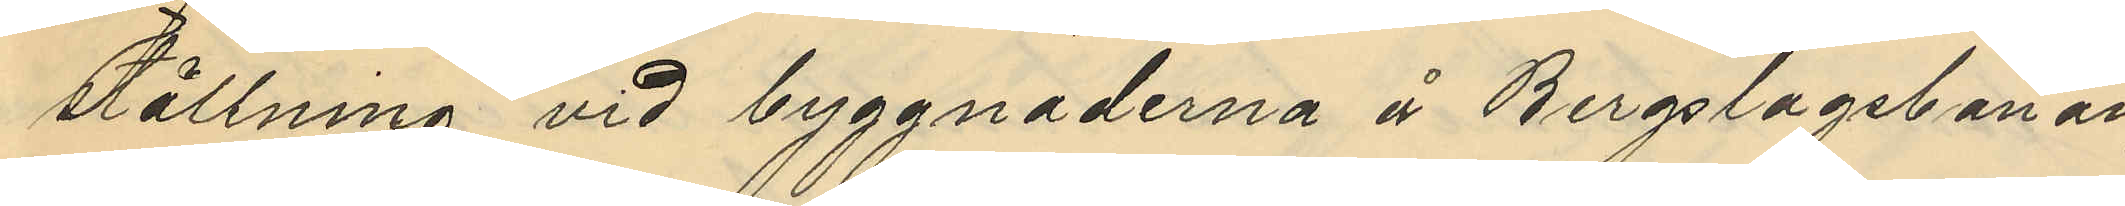ställning vid byggnaderna å Bergslagsbanan,
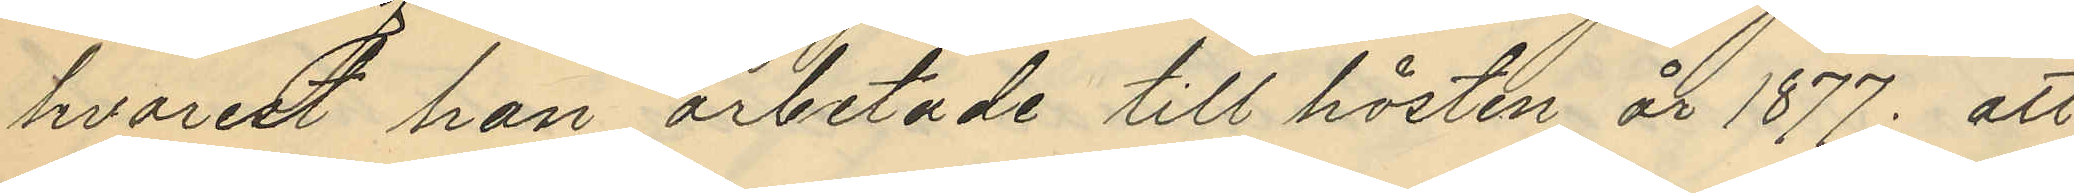hvarest han arbetade till hösten år 1877; att
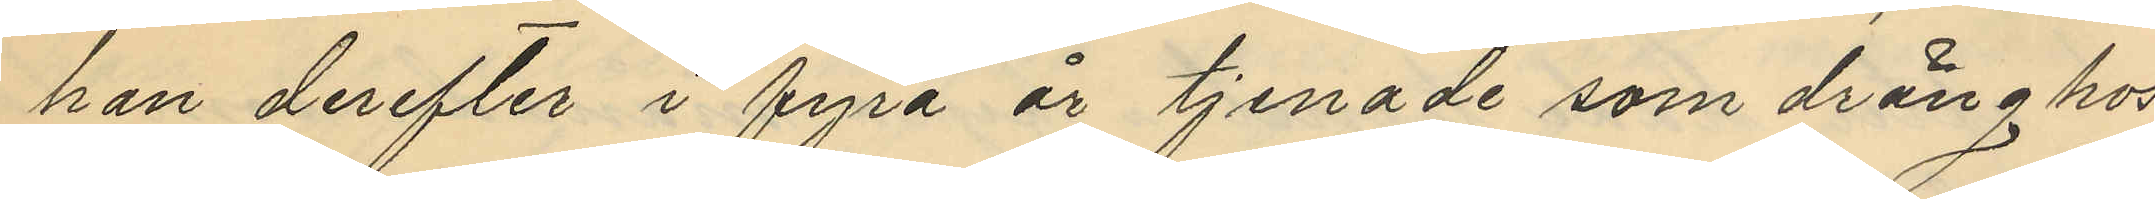han derefter i fyra år tjenade som dräng hos
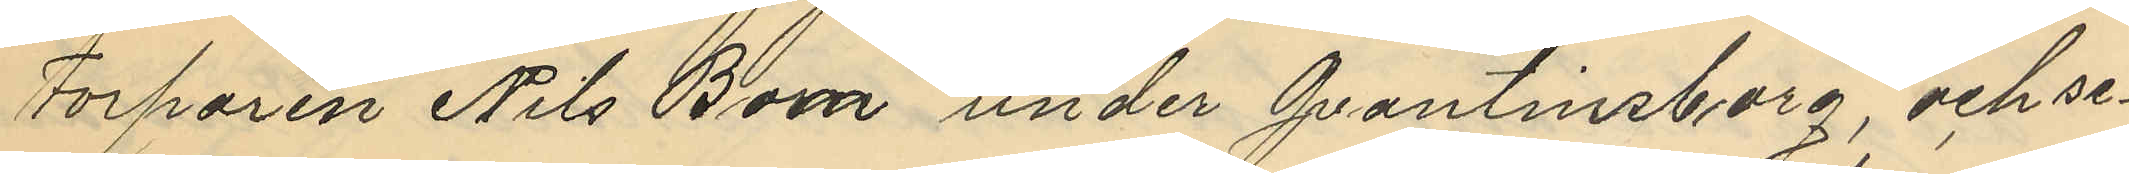Torparen Nils Bom under Qvantinsborg, och se¬
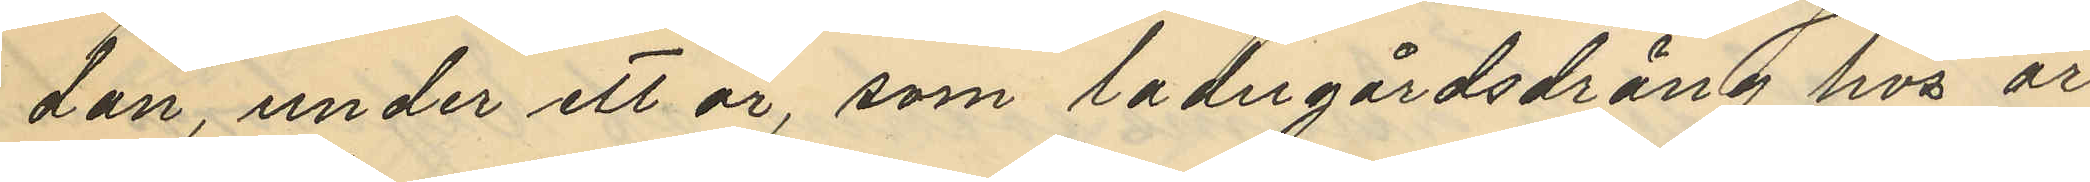dan, under ett år, som ladugårdsdräng hos ar¬
